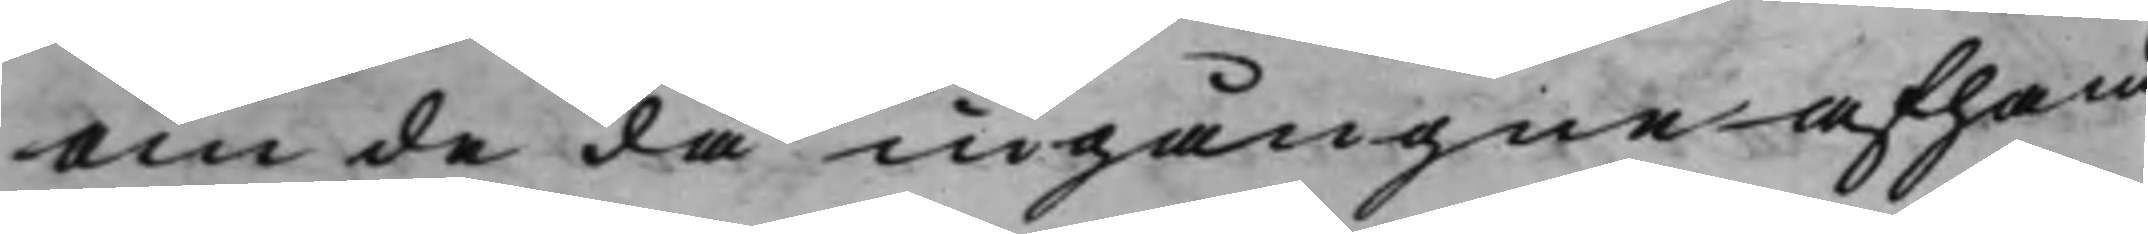om de då ingångne afhand¬
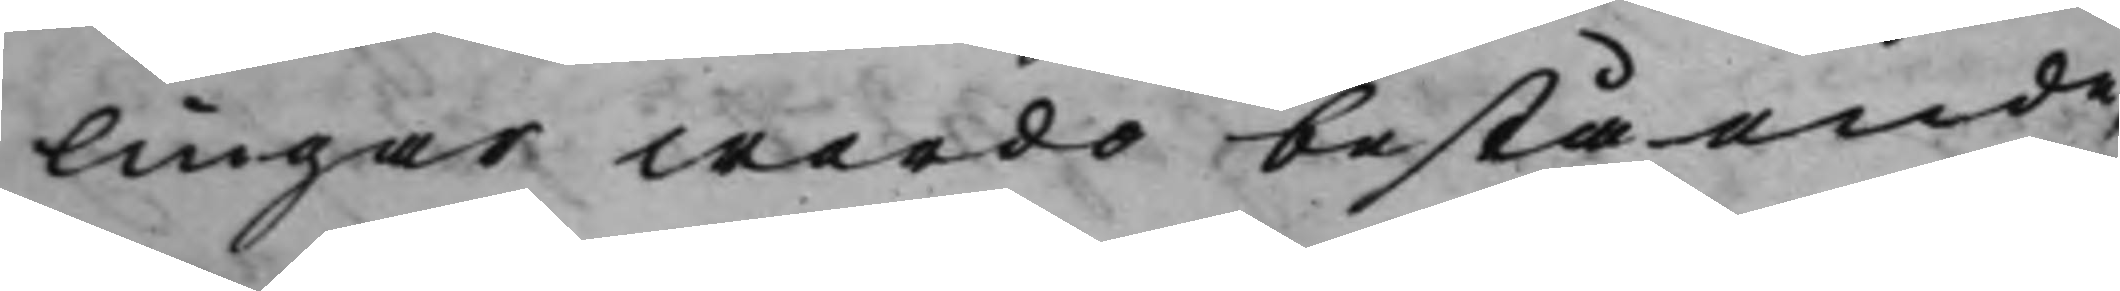lingar wardo bestående,
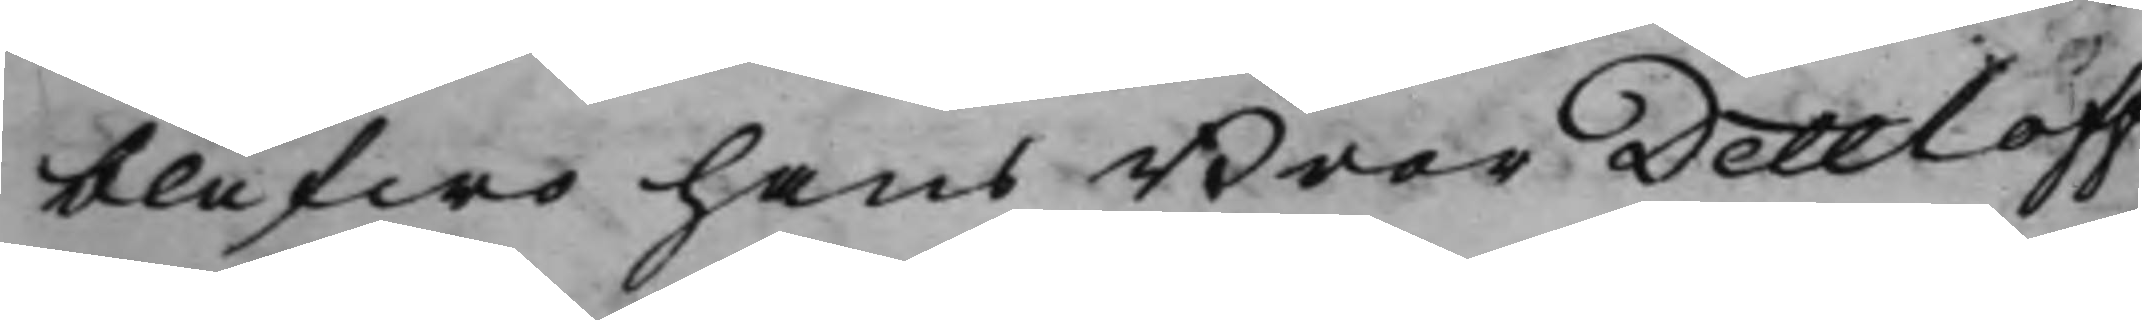blefwo hans Bror Dettloff
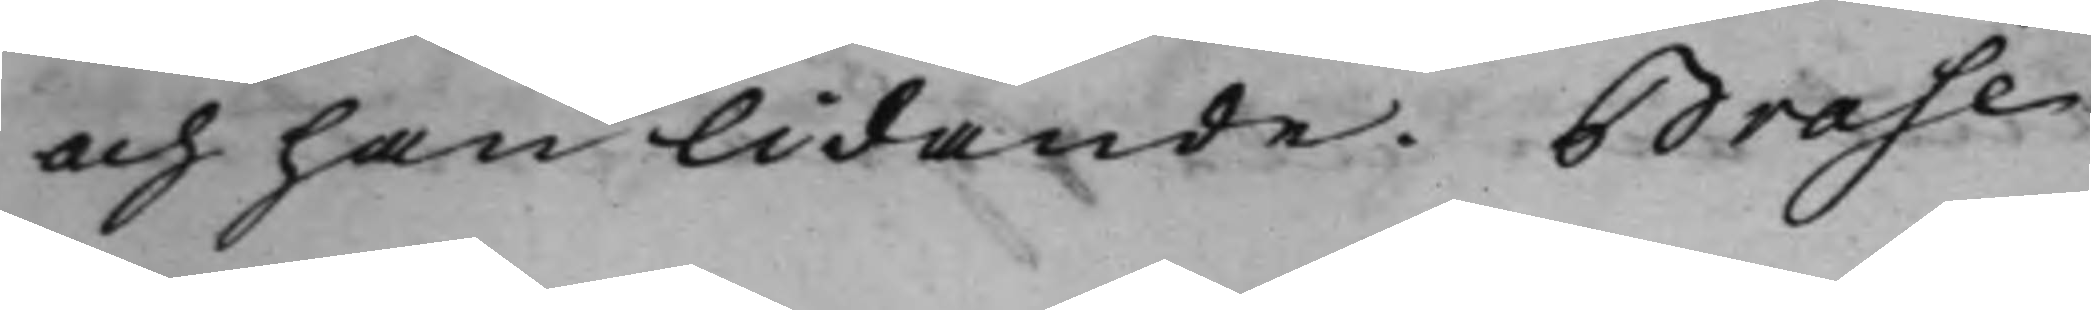och han lidande. Brase
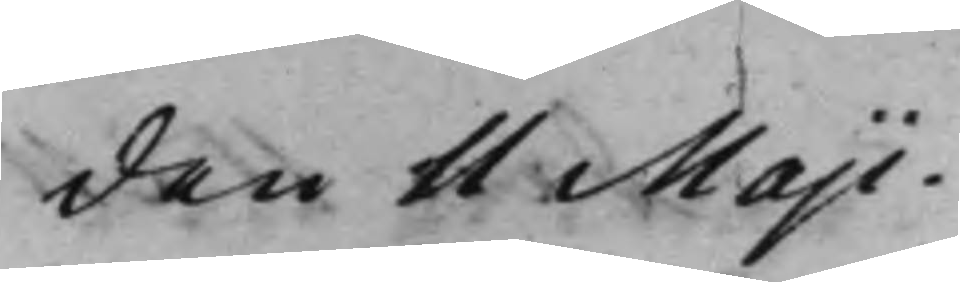den 11 Maji.
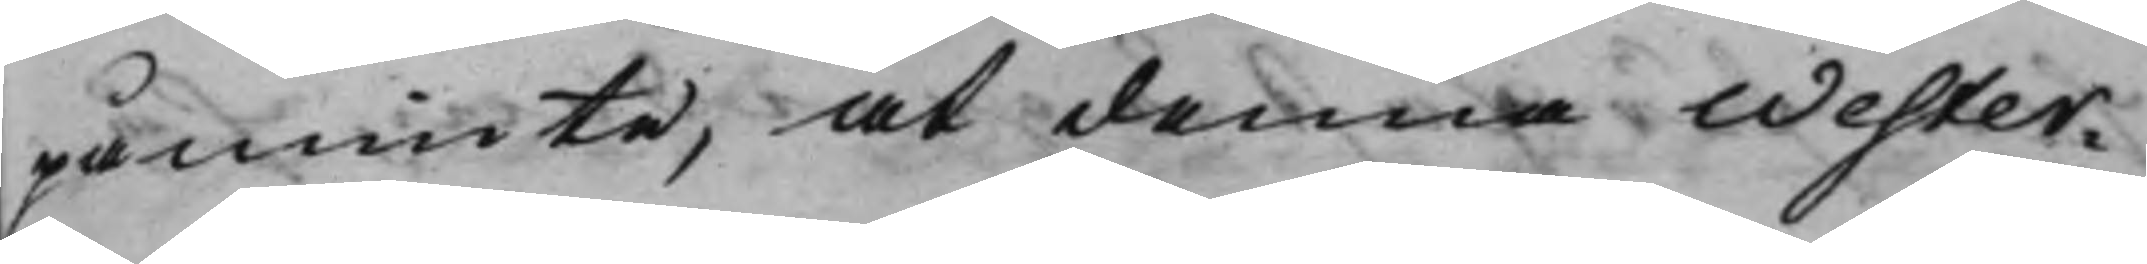påminte, at denna Wester¬
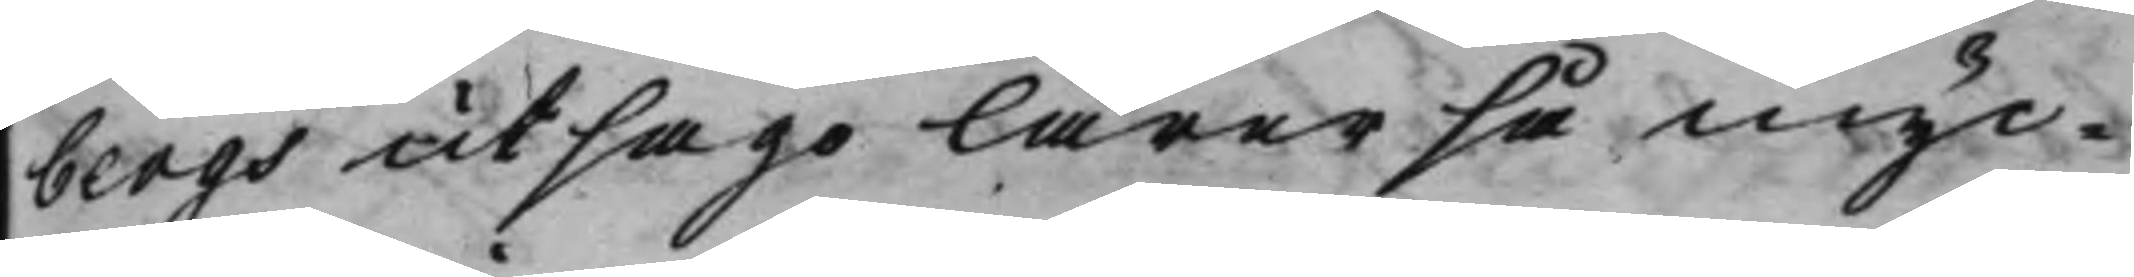bergs utsago lärer så myc¬
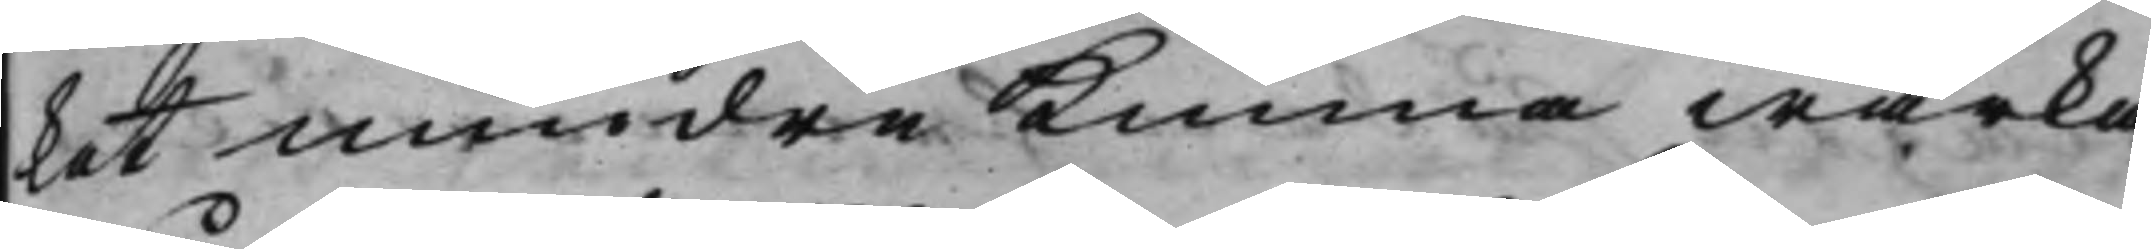ket mindre Kunna wärka
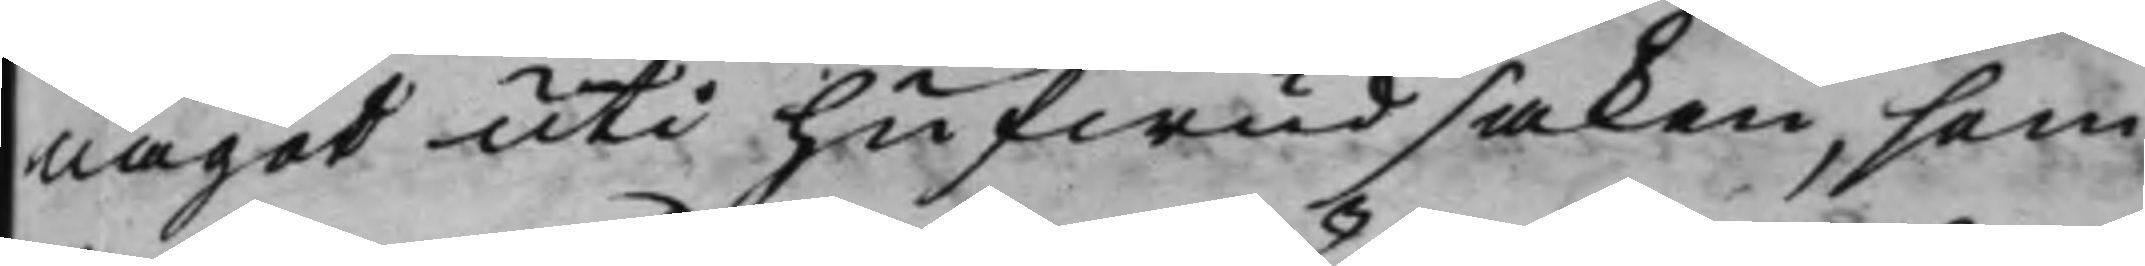något uti hufwudsaken, som
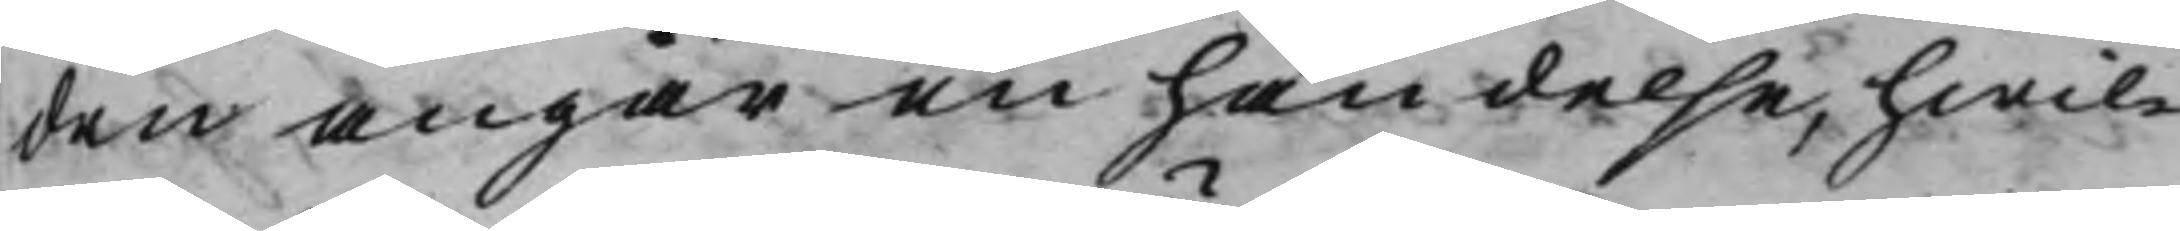den angår en händelse, hwil¬
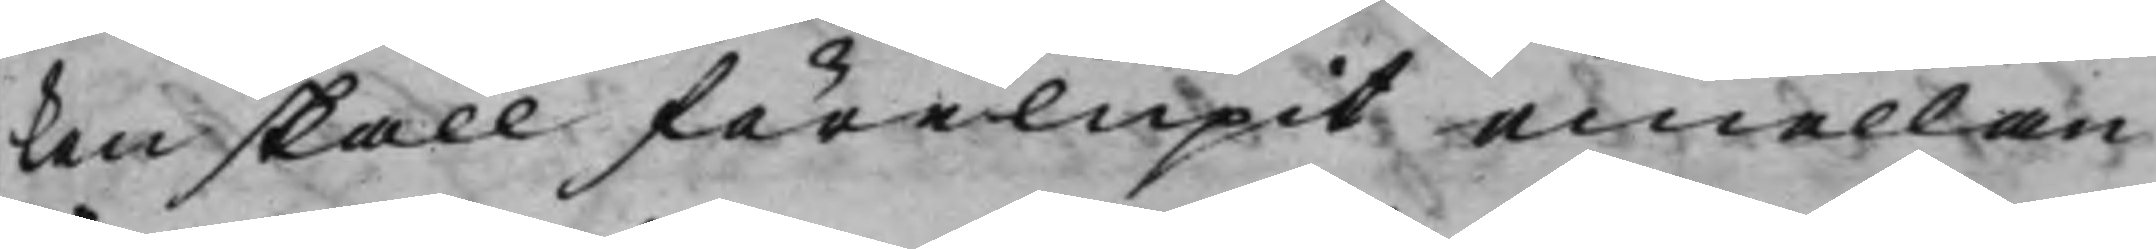ken skall förelupit emellan
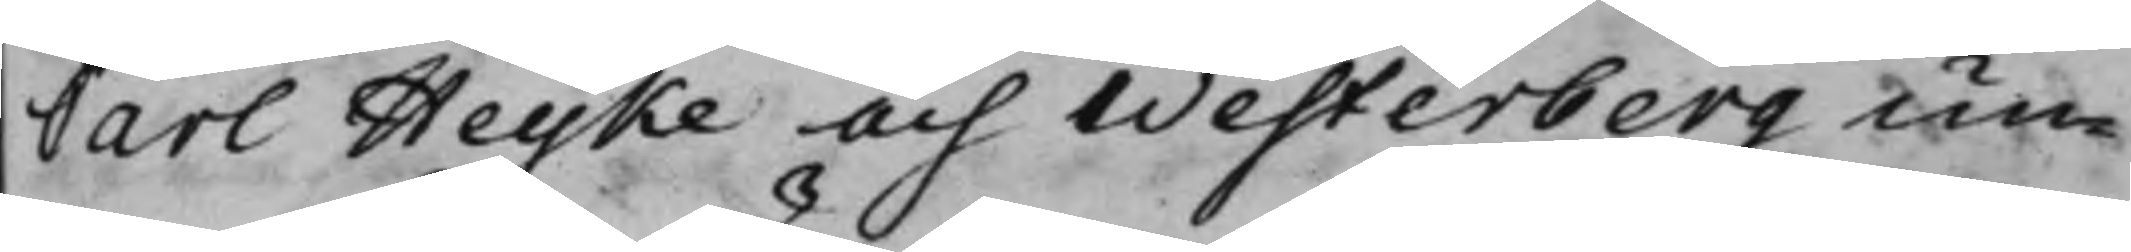Carl Heyke och Westerberg un¬
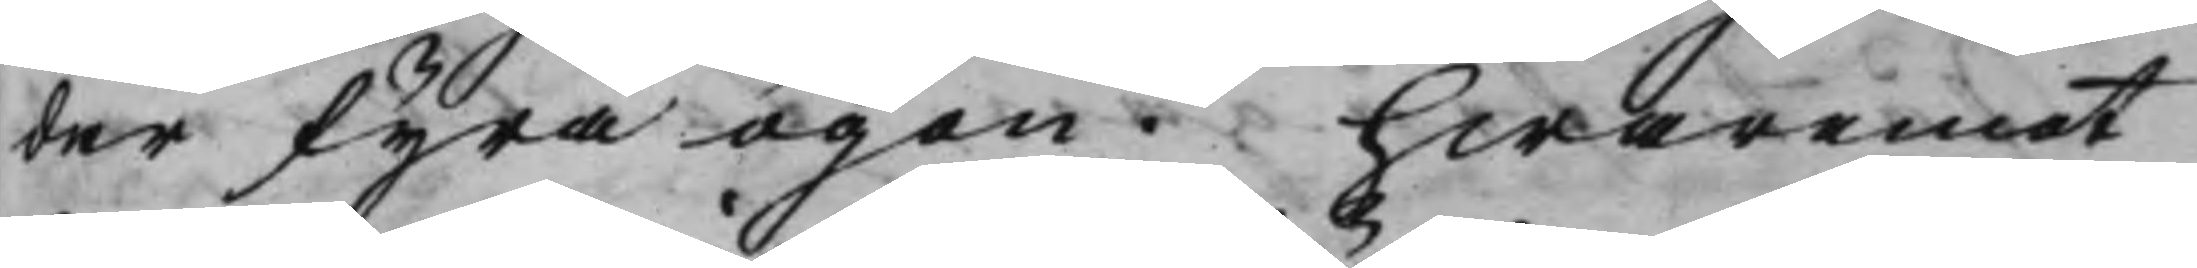der fyra ögon. hwaremot
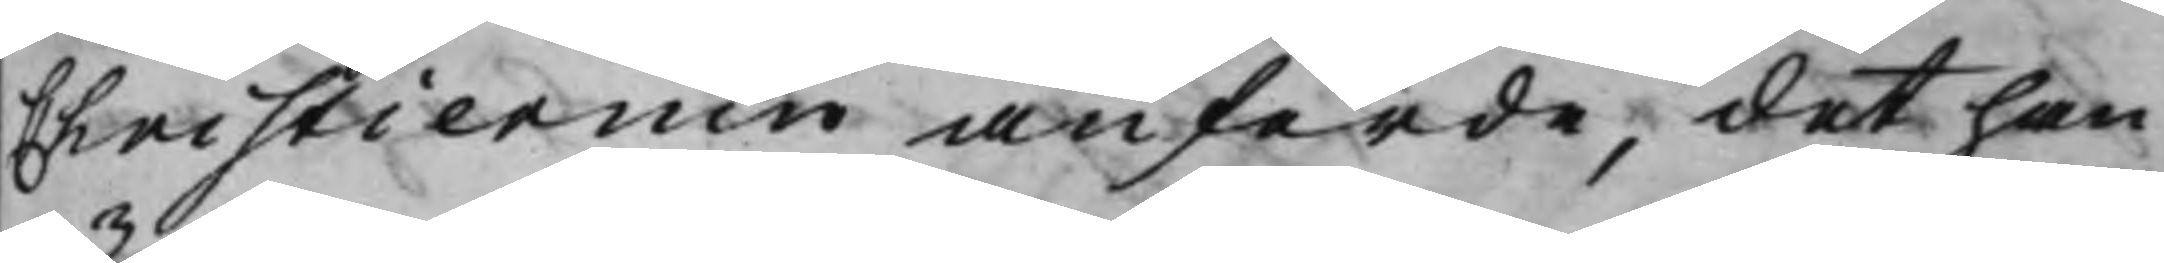Christiernin anförde, det han
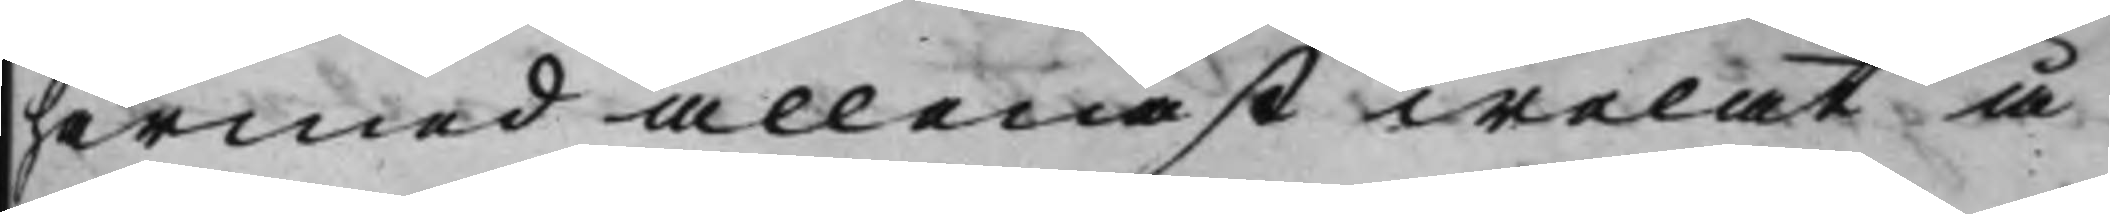härmed allenast welat å
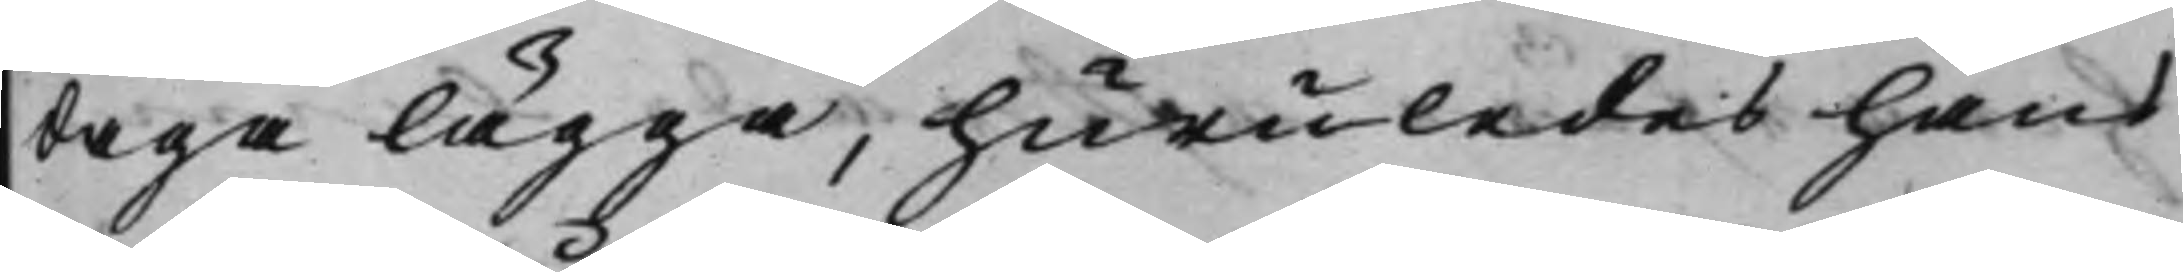daga lägga, huruledes hans
